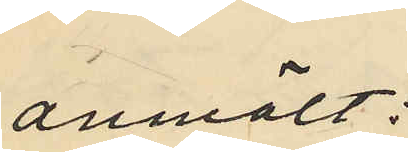anmält:
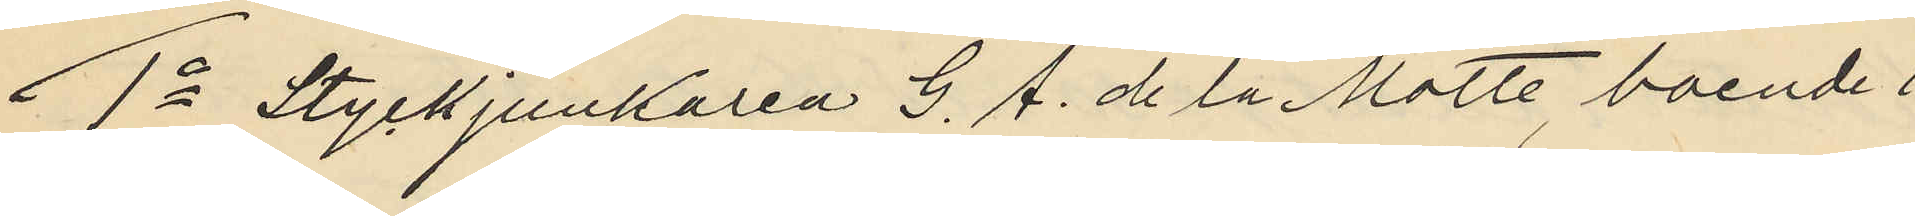1o Styckjunkaren G. A. de la Motte, boende i
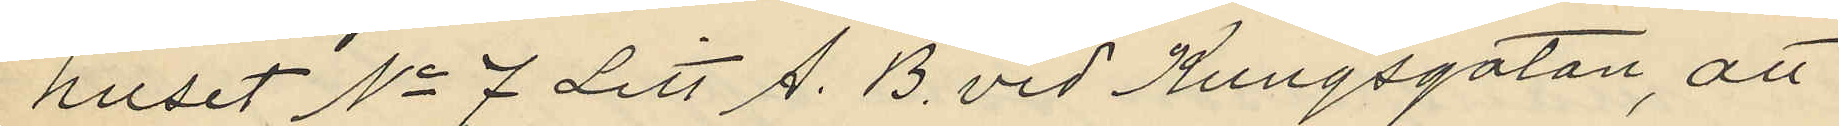huset No 7 Litt A. B. vid Kungsgatan, att
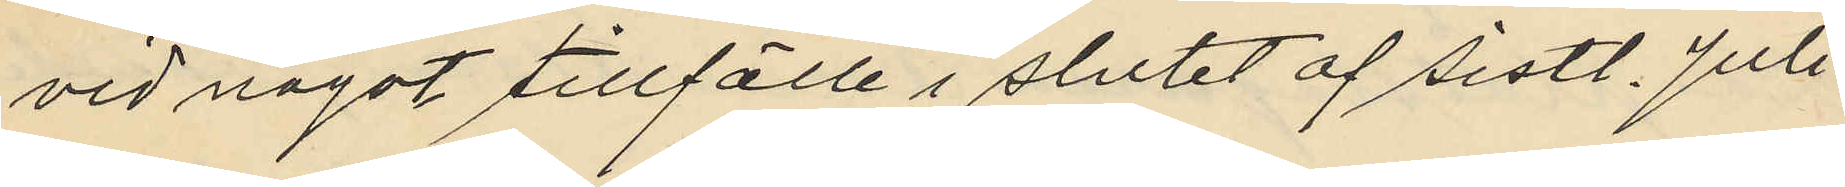vid något tillfälle i slutet af sistl. Juli
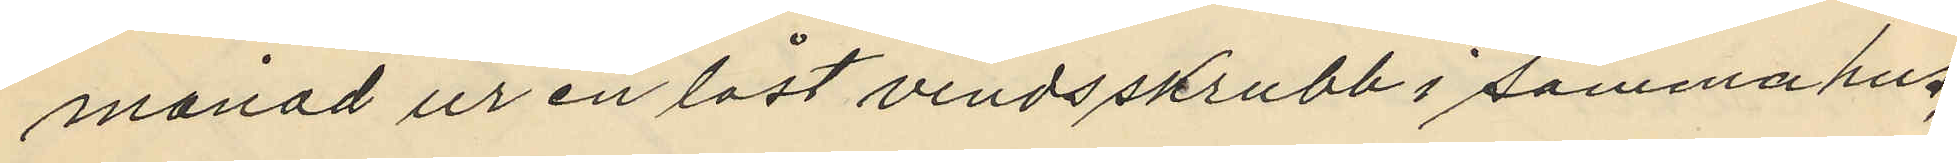månad ur en låst vindsskrubb i samma hus,
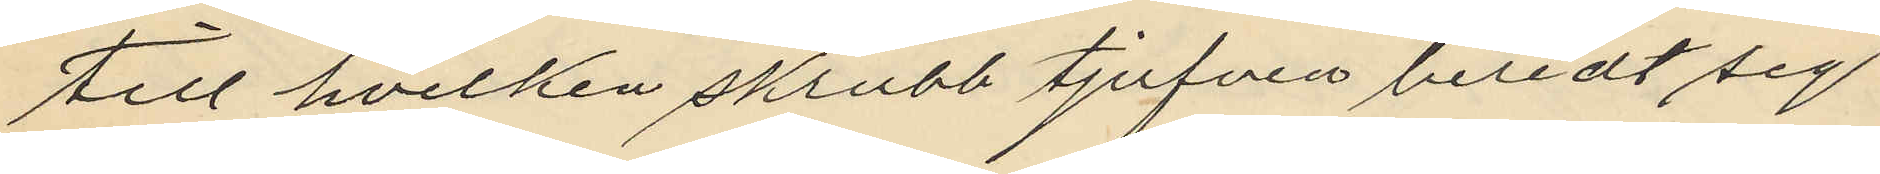till hvilken skrubb tjufven beredt sig
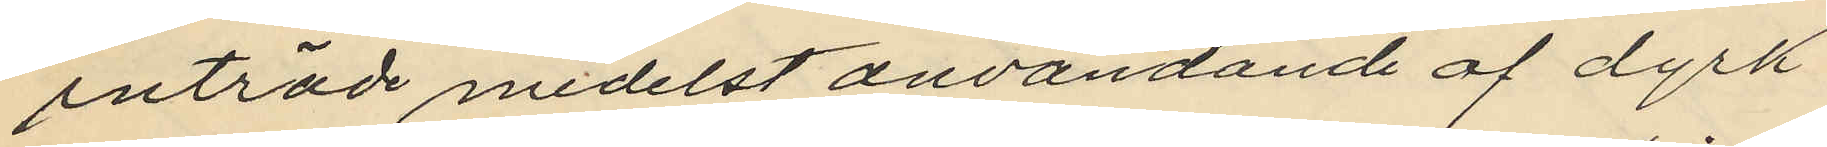inträde medelst användande af dyrk
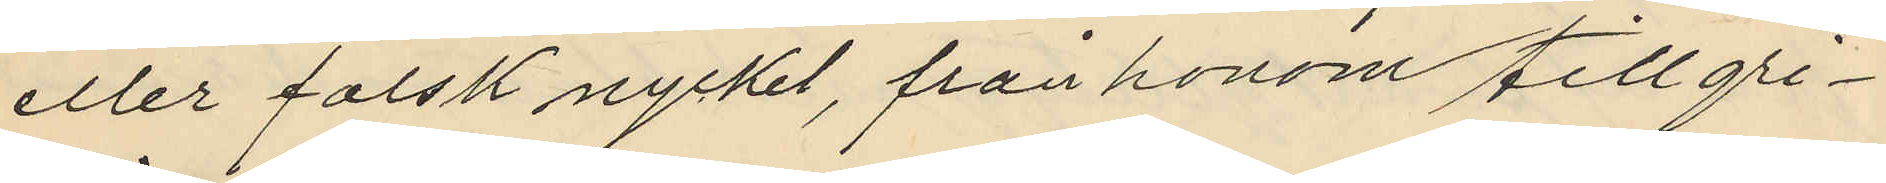eller falsk nyckel, från honom tillgri¬
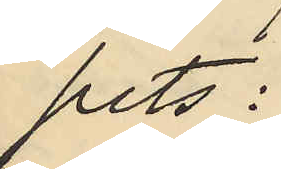pits:
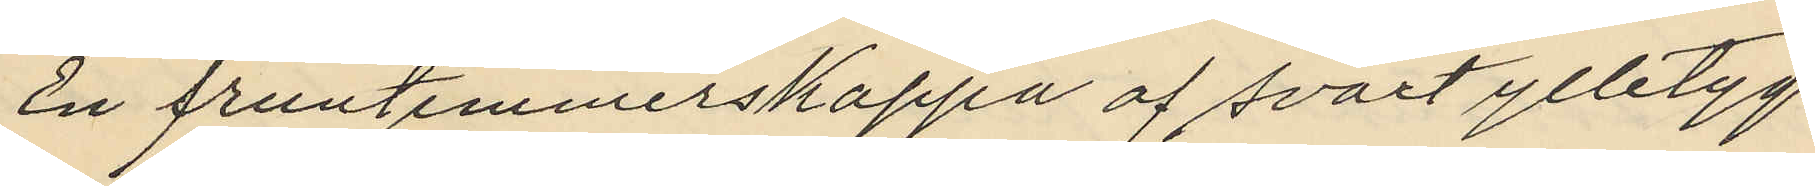En fruntimmerskappa af svart ylletyg
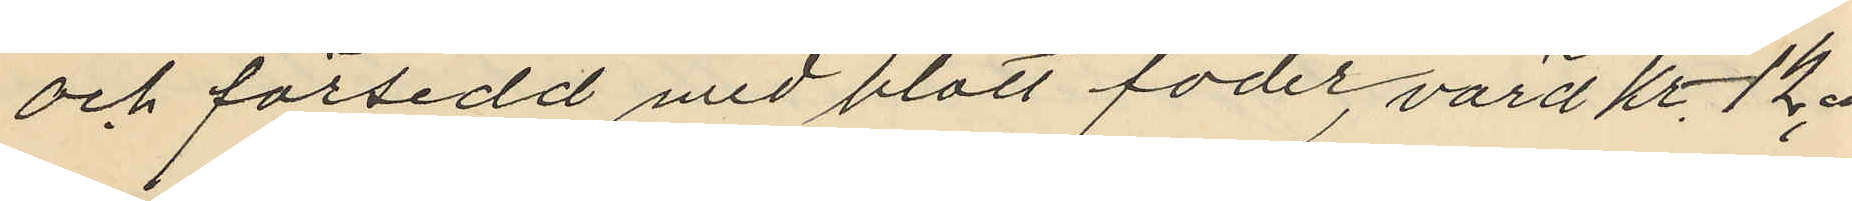och försedd med blått foder, värd kr 12.00
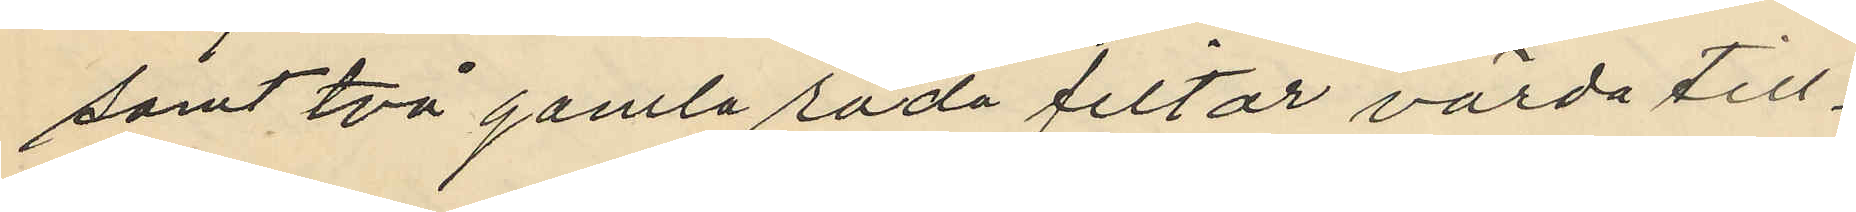samt två gamla röda filtar värda till¬
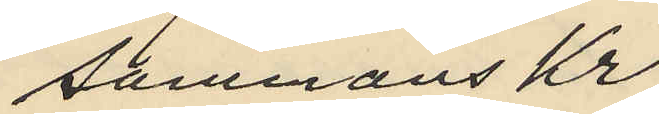sammans Kr
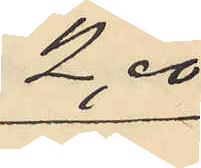2,00
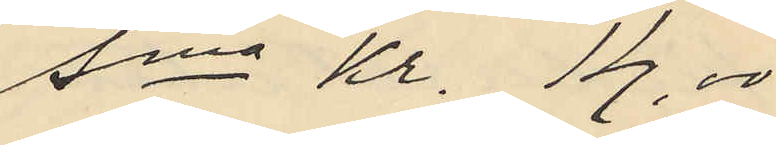Sma kr. 14,00
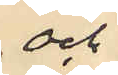och
